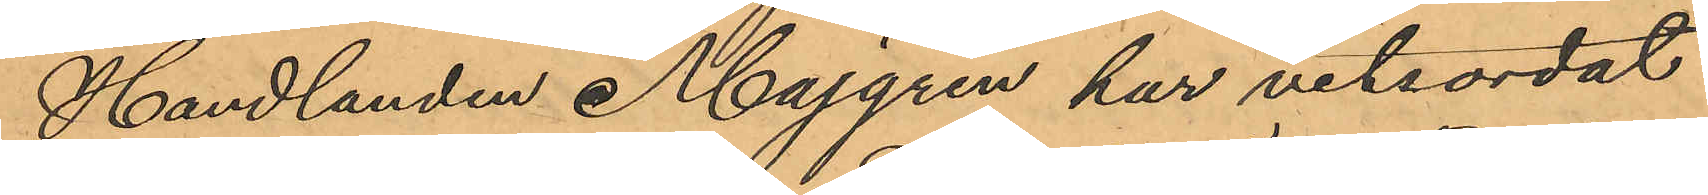Handlanden Majgren har vitsordat
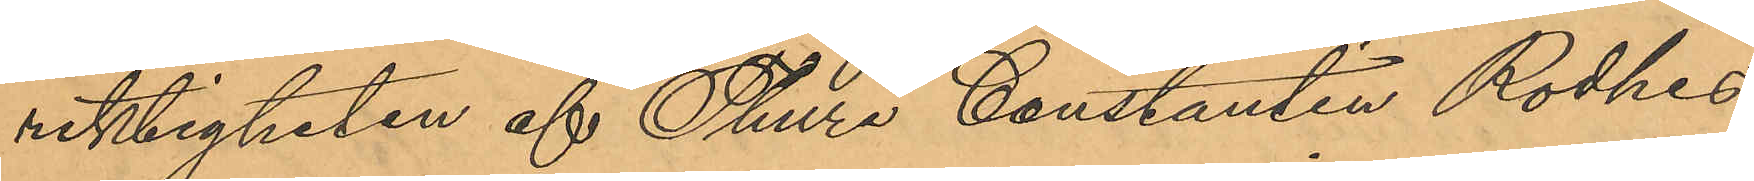riktigheten af Thure Constantin Rodhes
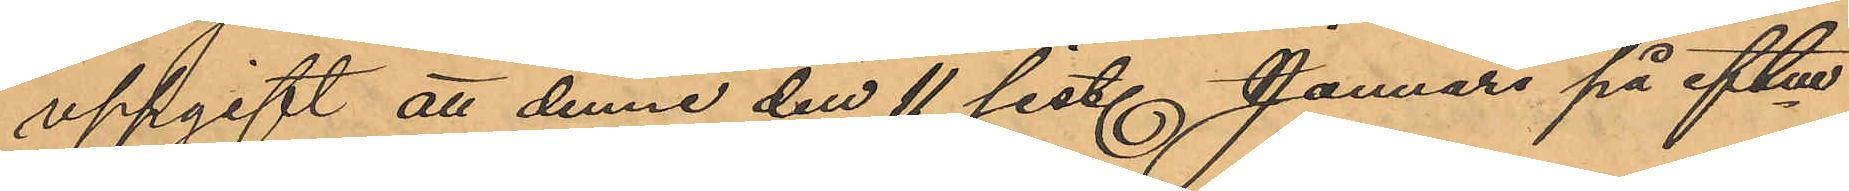uppgift att denne den 11 sist. Januari på eftm
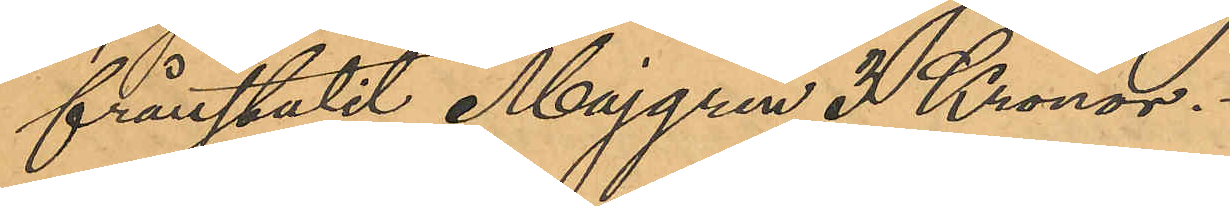frånstulit Majgren 3 Kronor.
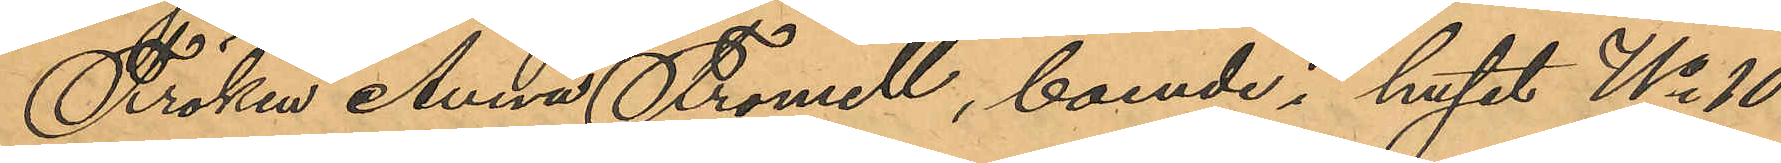Fröken Anna Fromell, boende i huset No 10
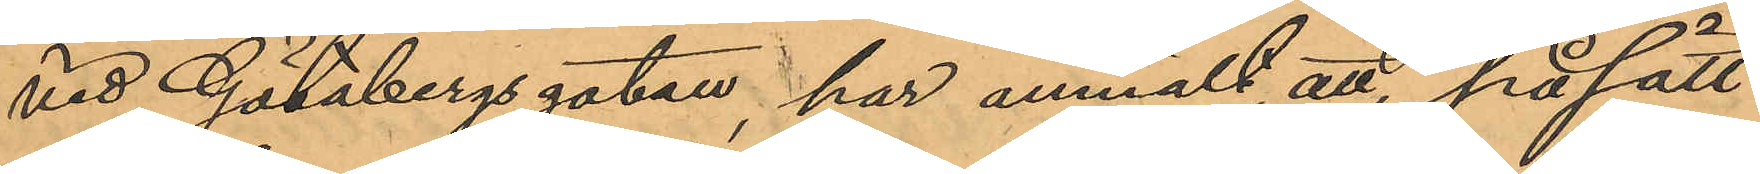vid Götabergsgatan, har anmält att på sätt
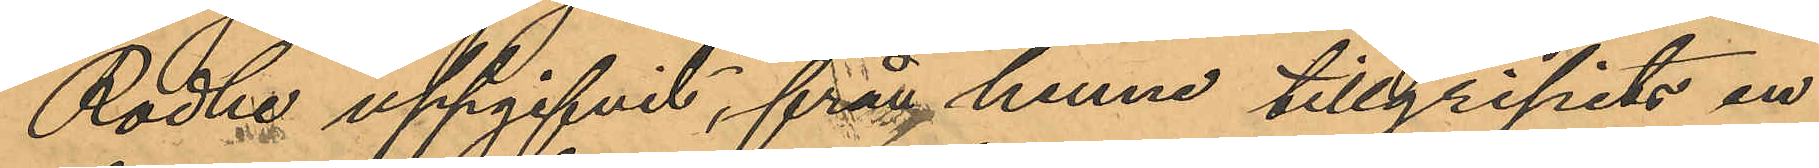Rodhe uppgifvit, från henne tillgripits en
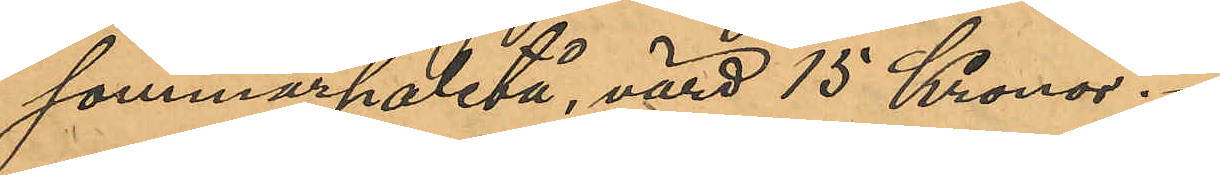sommarpaletå, värd 15 Kronor.
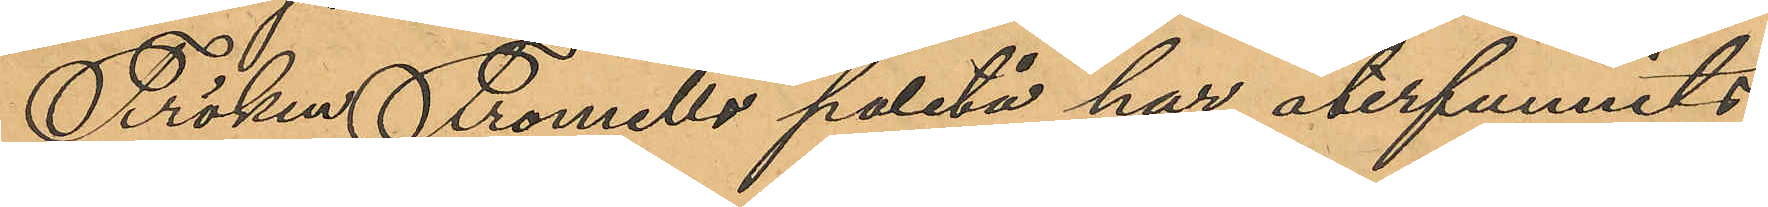Fröken Fromells paletå har återfunnits
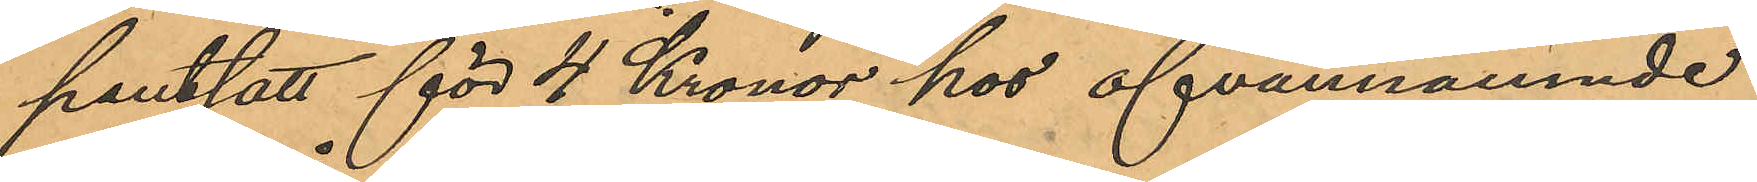pantsatt för 4 Kronor hos ofvannämnde
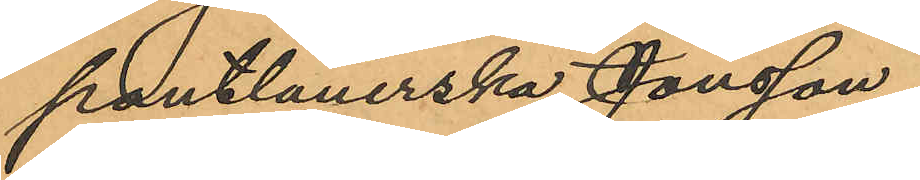pantlånerska Jonsson.
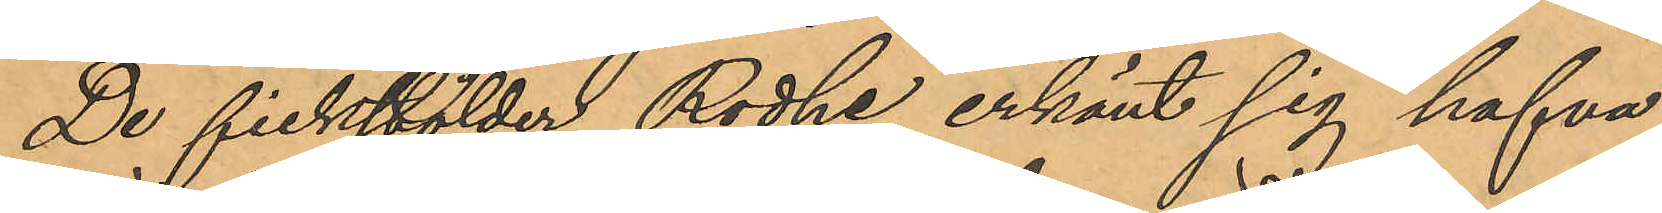De fickstölder Rodhe erkänt sig hafva
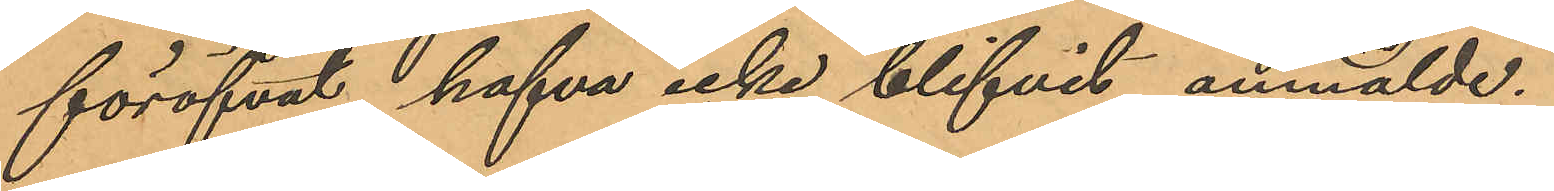föröfvat hafva icke blifvit anmälde.
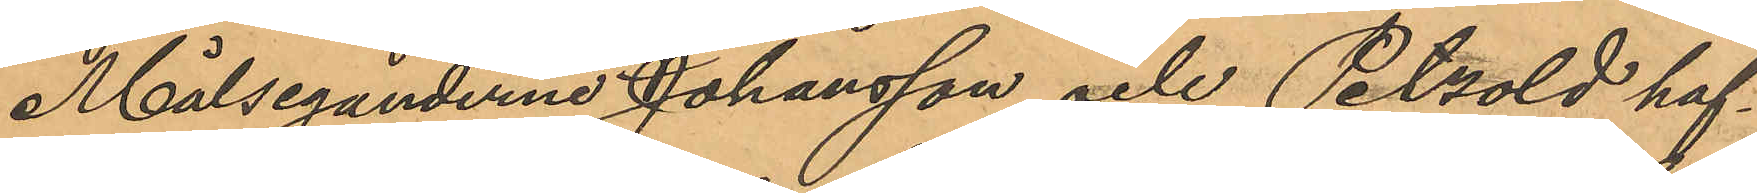Målseganderne Johansson och Petzold haf¬
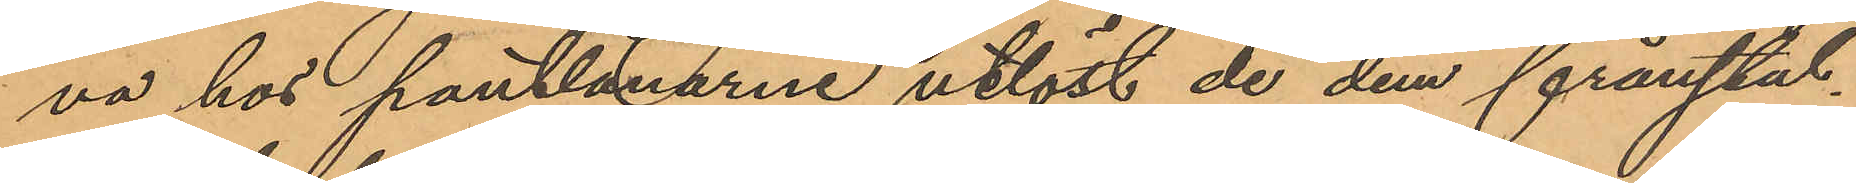va hos pantlånarne utlöst de dem frånstul¬
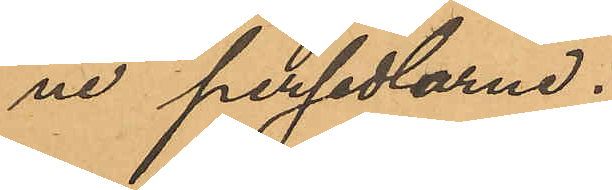ne persedlarne.
